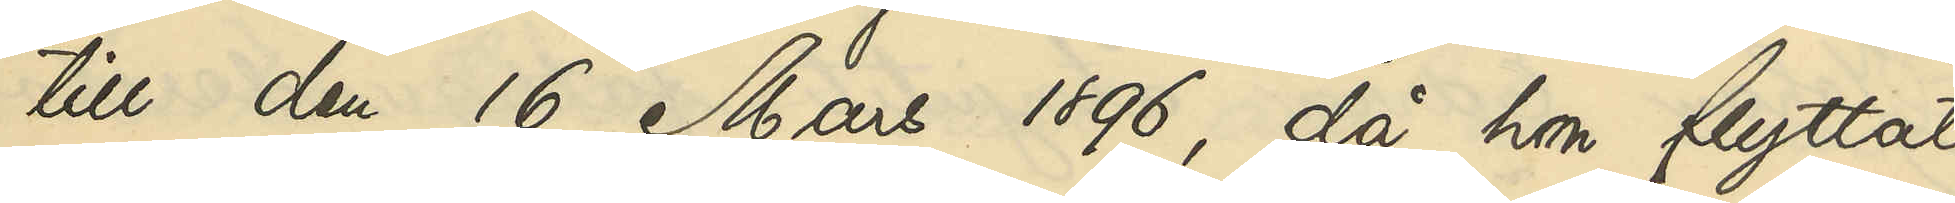till den 16 Mars 1896, då hon flyttat
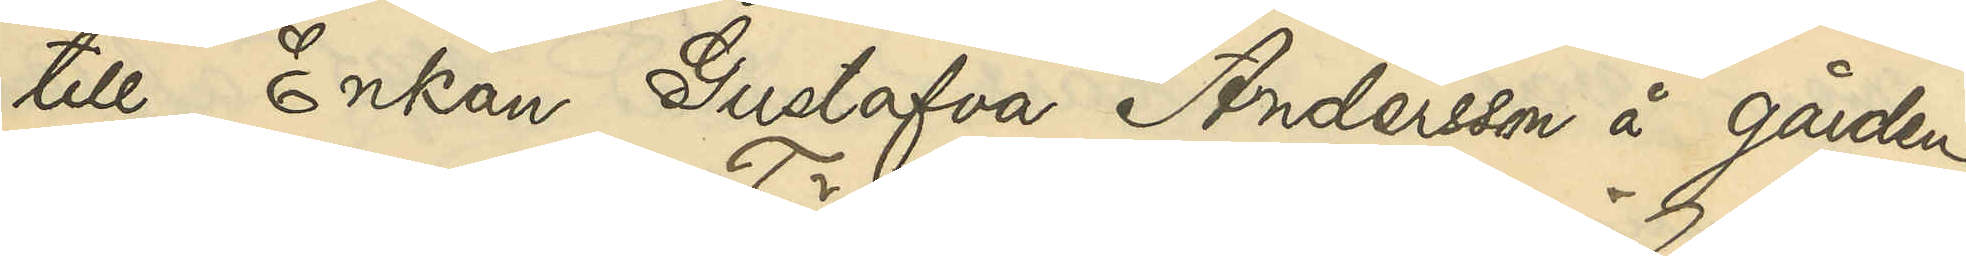till Enkan Gustafva Andersson å gården
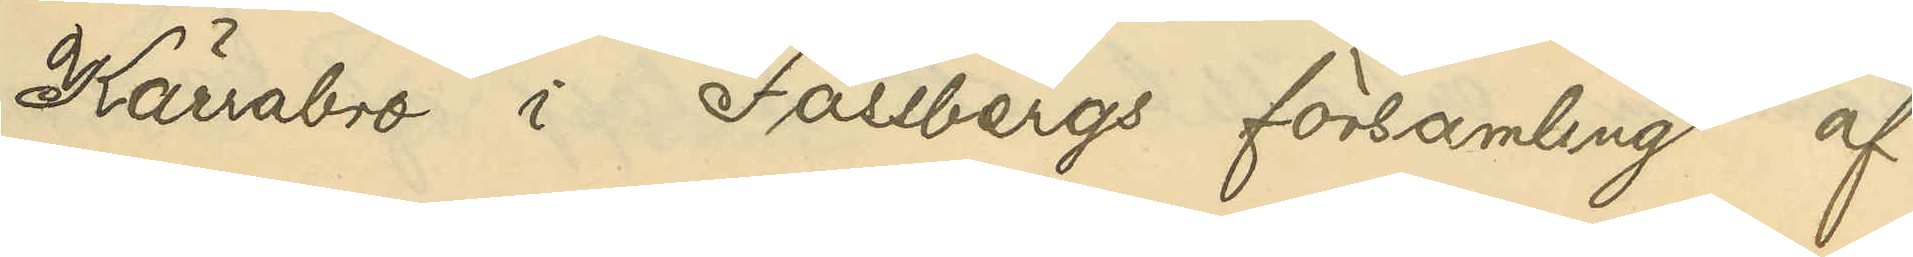Kärrabro i Fässbergs församling af
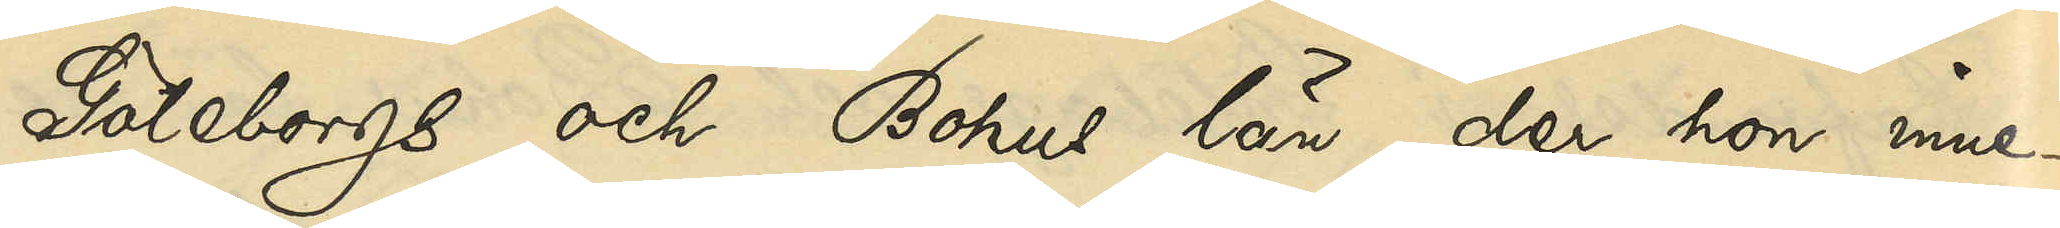Göteborgs och Bohus län, der hon inne¬
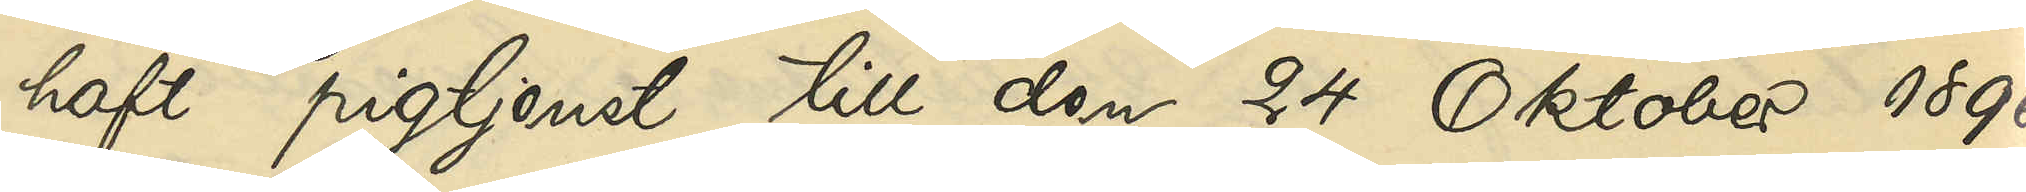haft pigtjenst till den 24 Oktober 1896,
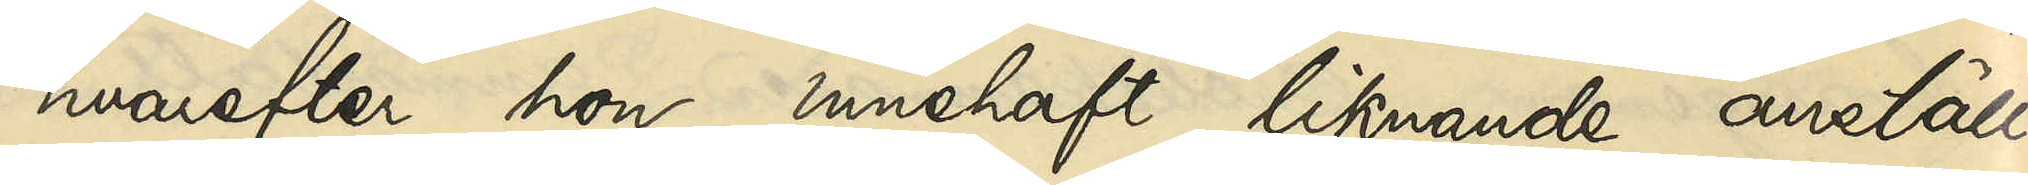hvarefter hon innehaft liknande anställ¬
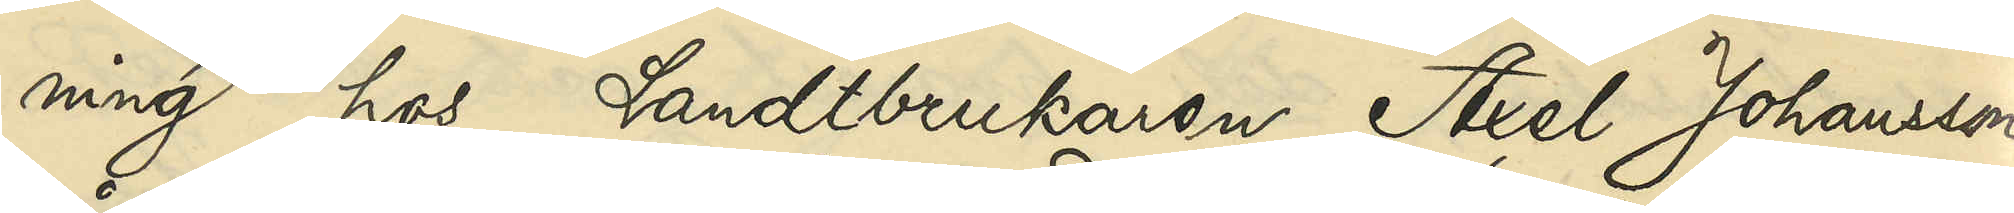ning hos Landtbrukaren Axel Johansson
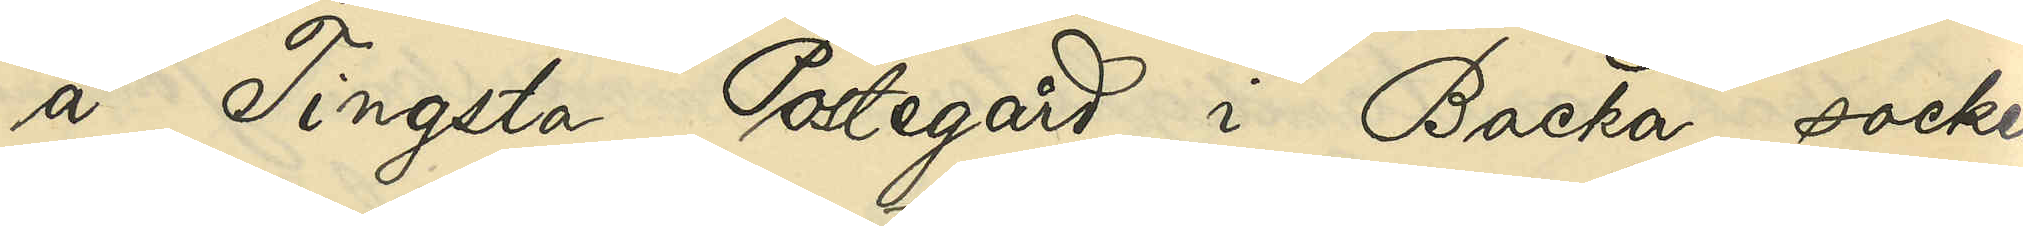å Tingsta Postegård i Backa socken
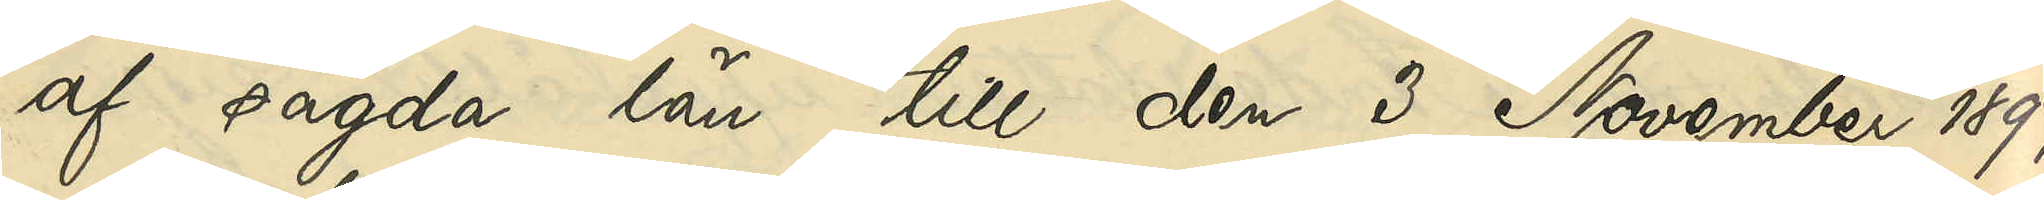af sagda län till den 3 November 1897,
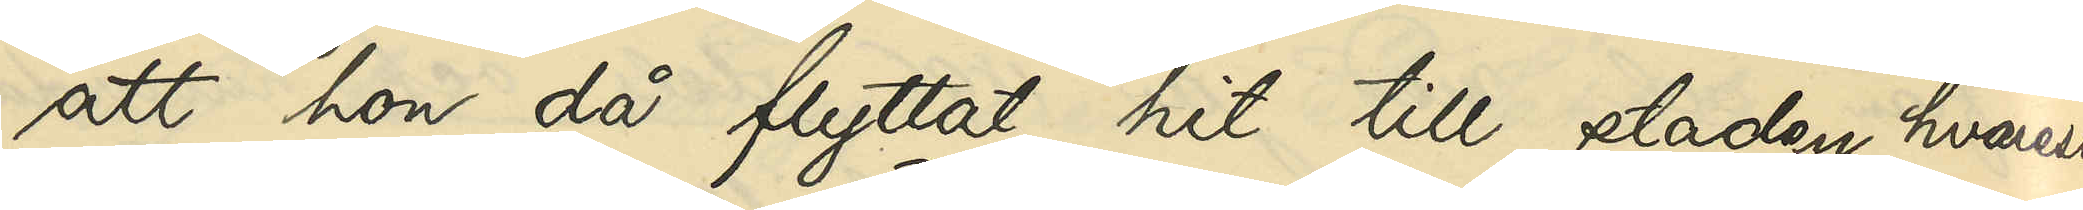att hon då flyttat hit till staden, hvarest
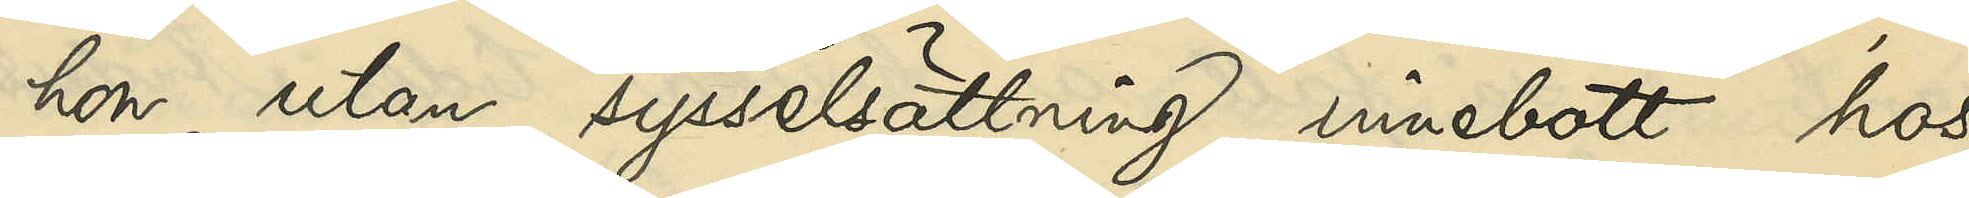hon utan sysselsättning innebott hos
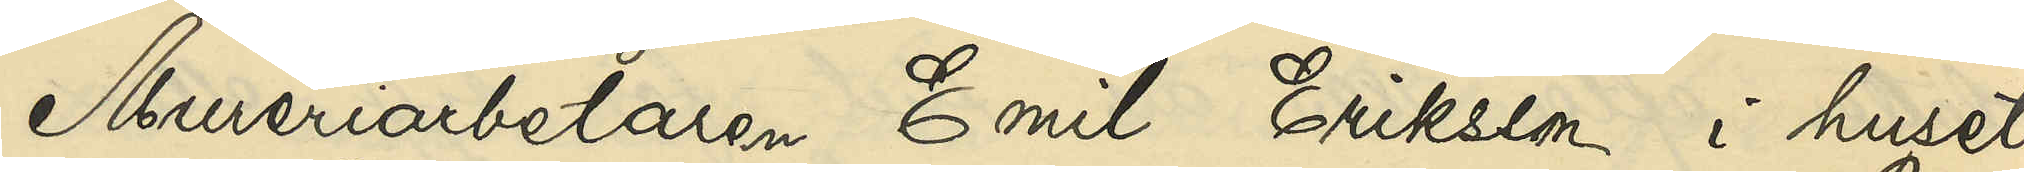Mureriarbetaren Emil Eriksson i huset
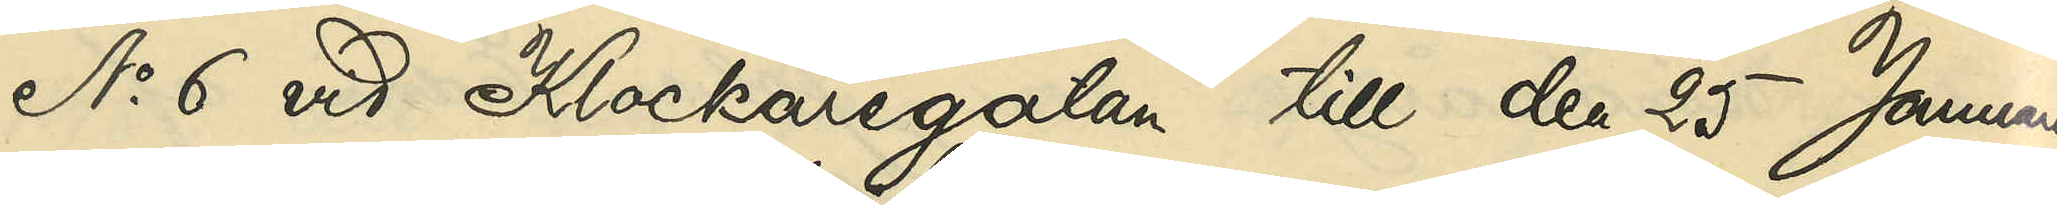No 6 vid Klockaregatan till den 25 Januari
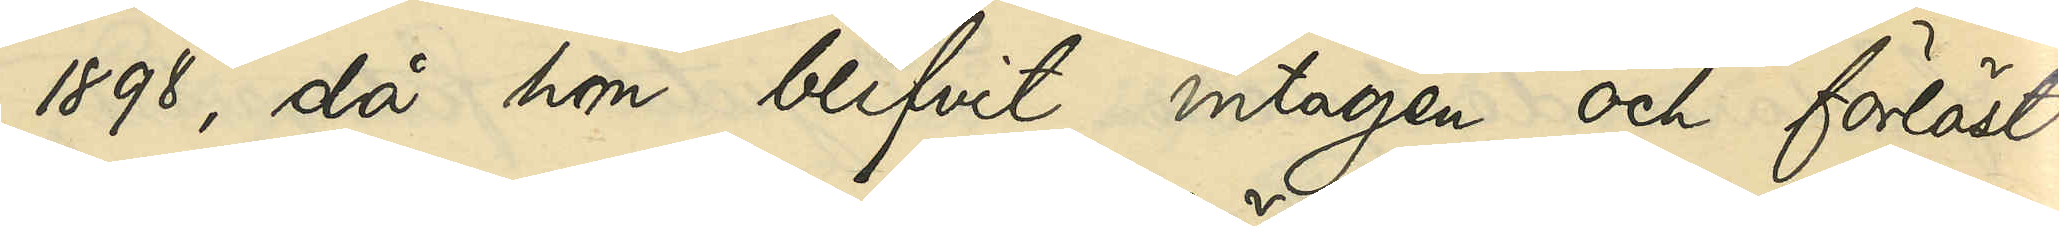1898, då hon blifvit intagen och förlöst
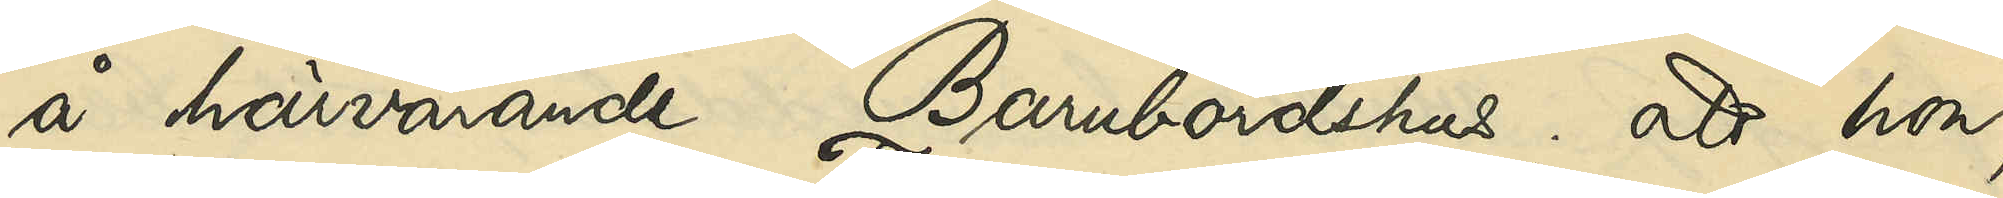å härvarande Barnbördshus; att hon,
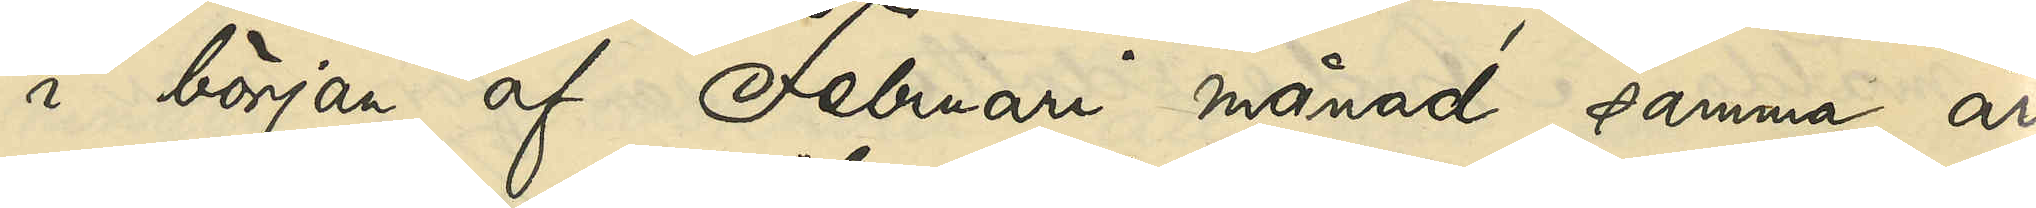i början af Februari månad samma år
